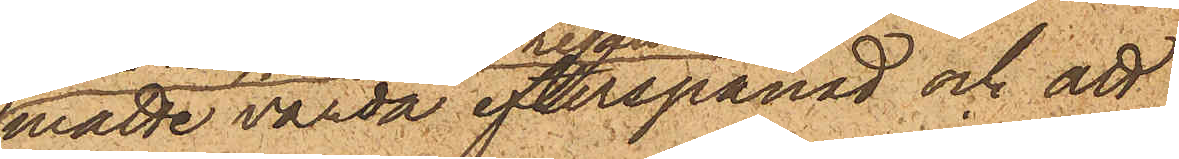måtte varda efterspanad och att
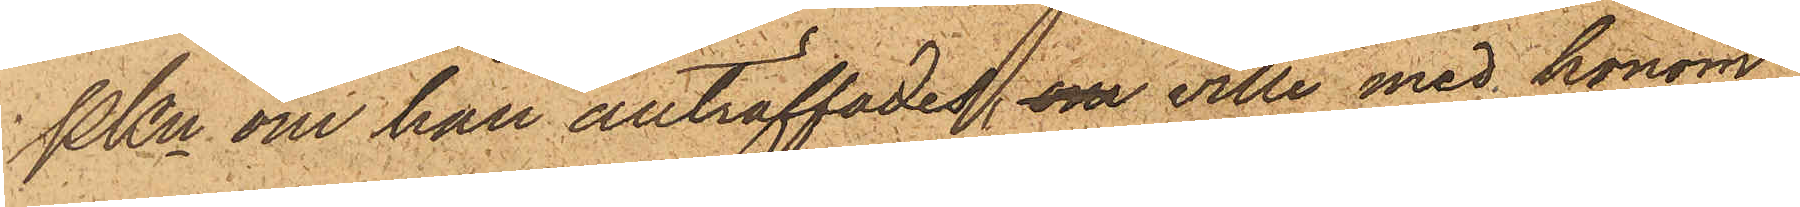PKn om han anträffades om ville med honom
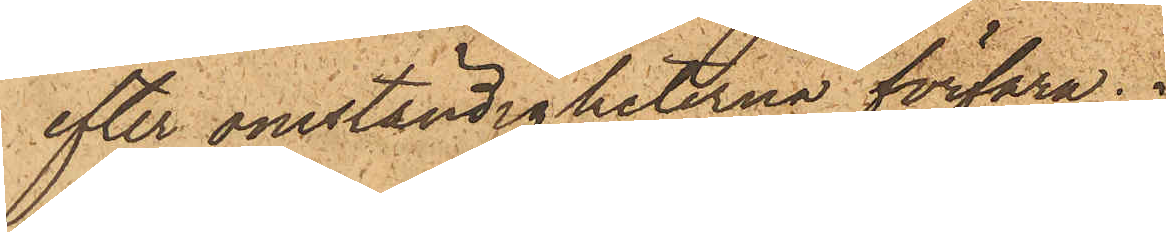efter omständigheterna förfara.
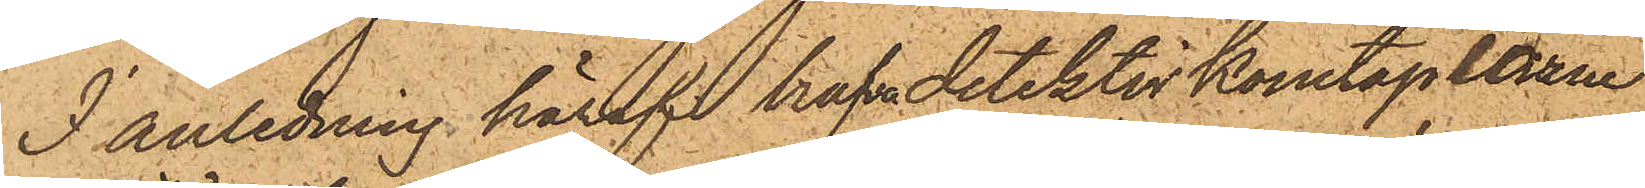I anledning häraf hafva detektivkonstaplarne
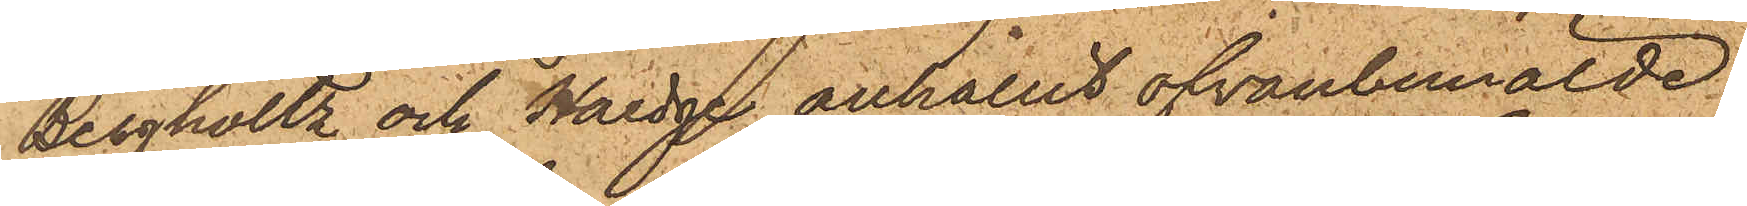Bergholtz och Hedge anhållit ofvanbemälde
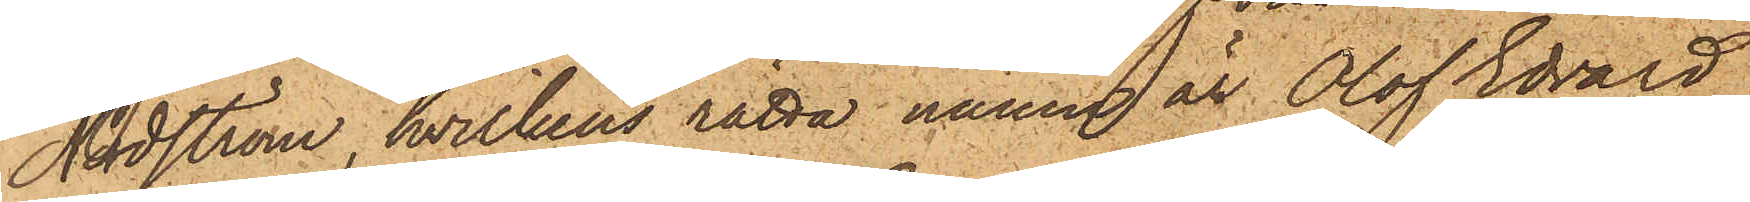Nordström, hvilkens rätta namn är Olof Edvard
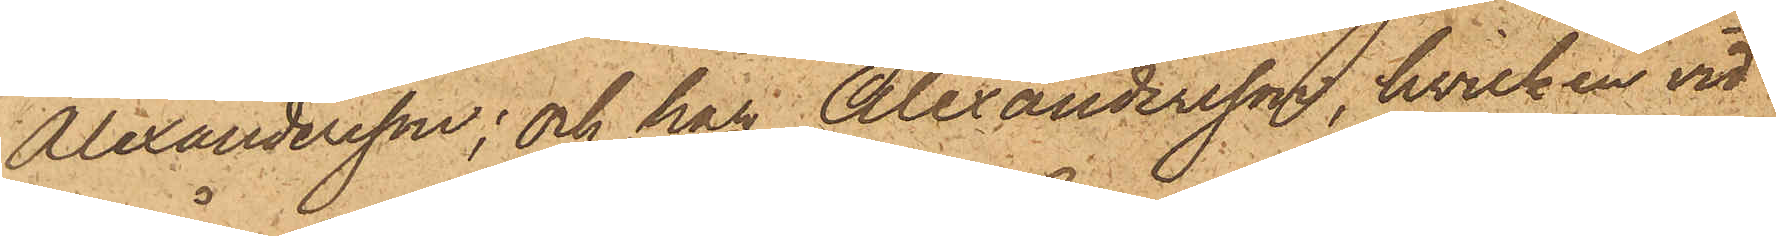Alexandersson; och har Alexandersson, hvilken vid
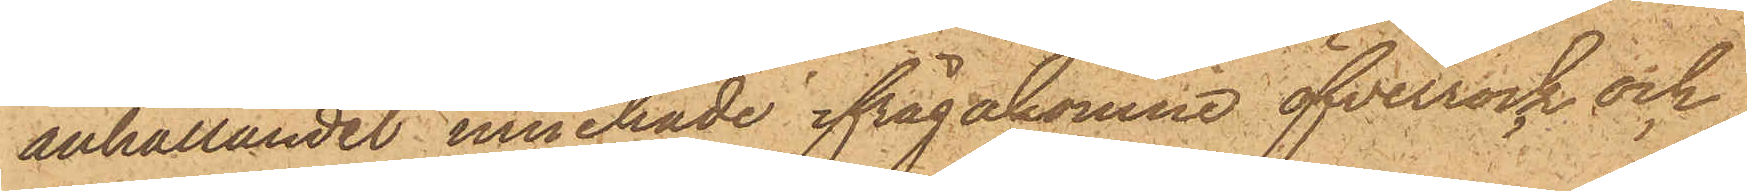anhållandet innehade ifrågakomne öfverrock och
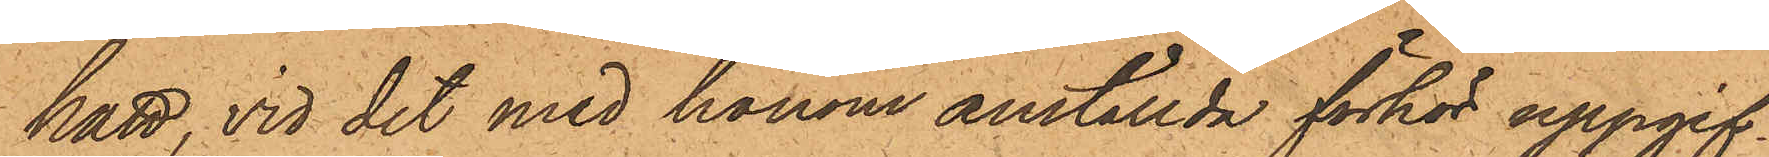hatt, vid det med honom anställda förhör uppgif¬
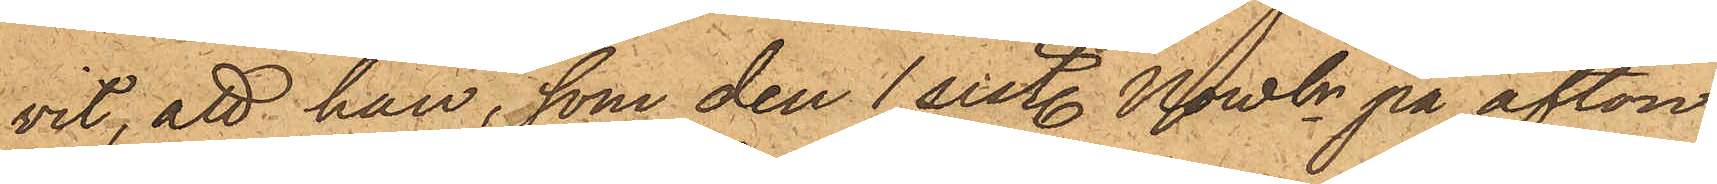vit, att han, som den 1 sist. Novbr på afton
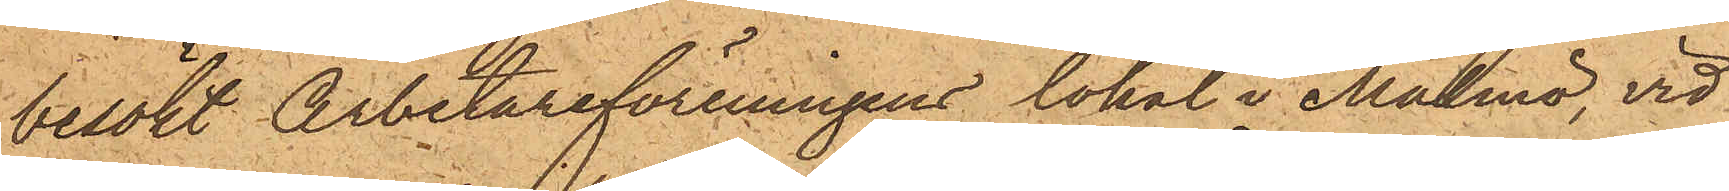besökt Arbetareföreningens lokal i Malmö, vid
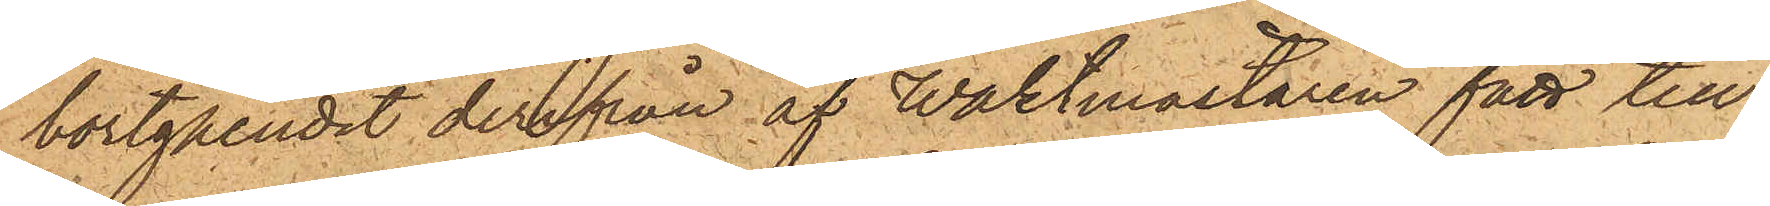bortgåendet derifrån af Waktmästaren fått till
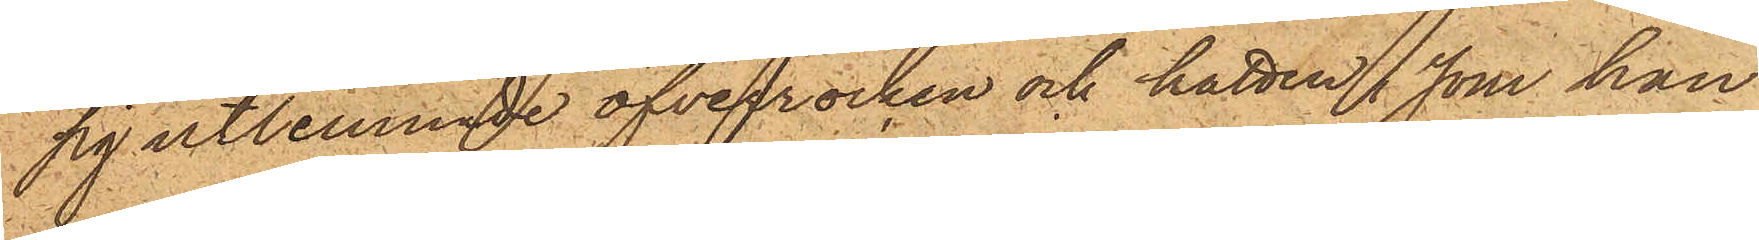sig utlämnade öfverrocken och hatten, som han
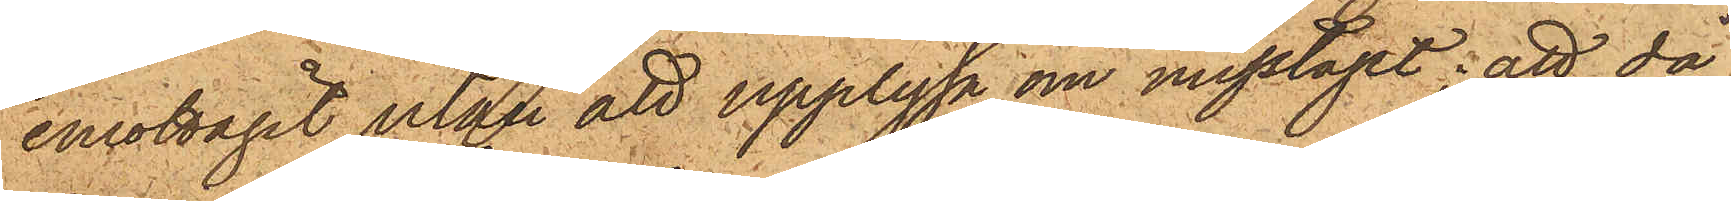emottagit utan att upplysa om misstaget; att då
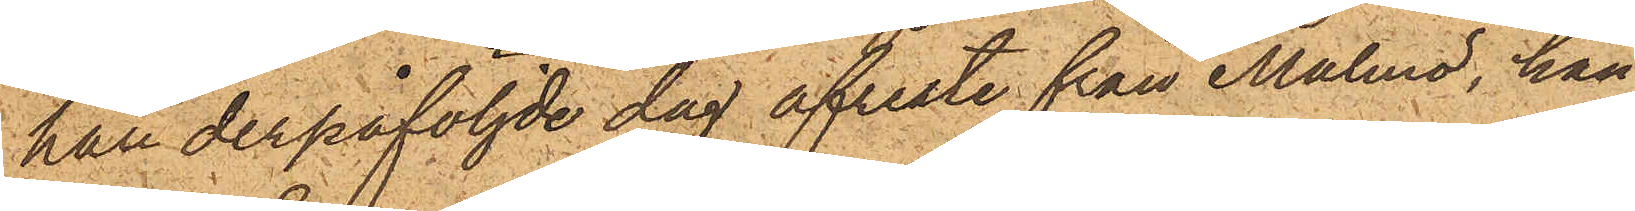han derpåföljde dag afreste från Malmö, han
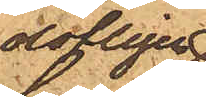olofligen
